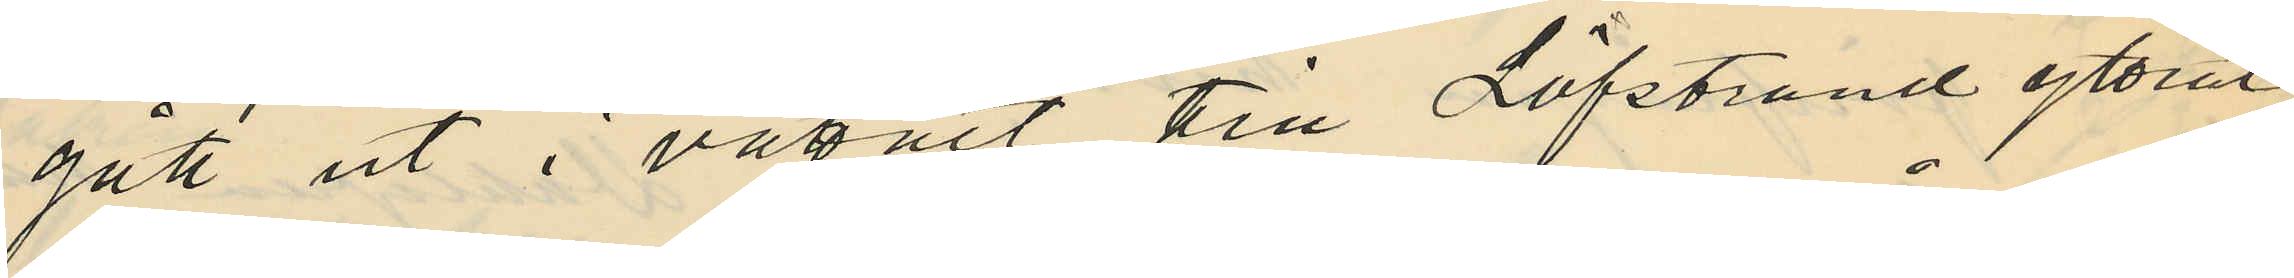gått ut i vattnet till Löfstrand yttrat:
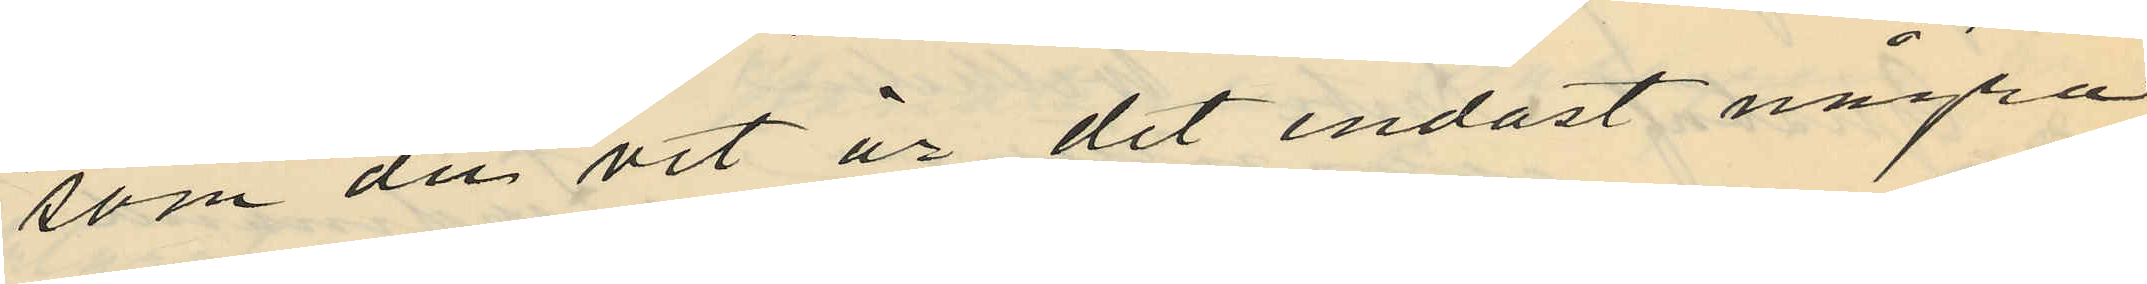"som du vet är det endast några
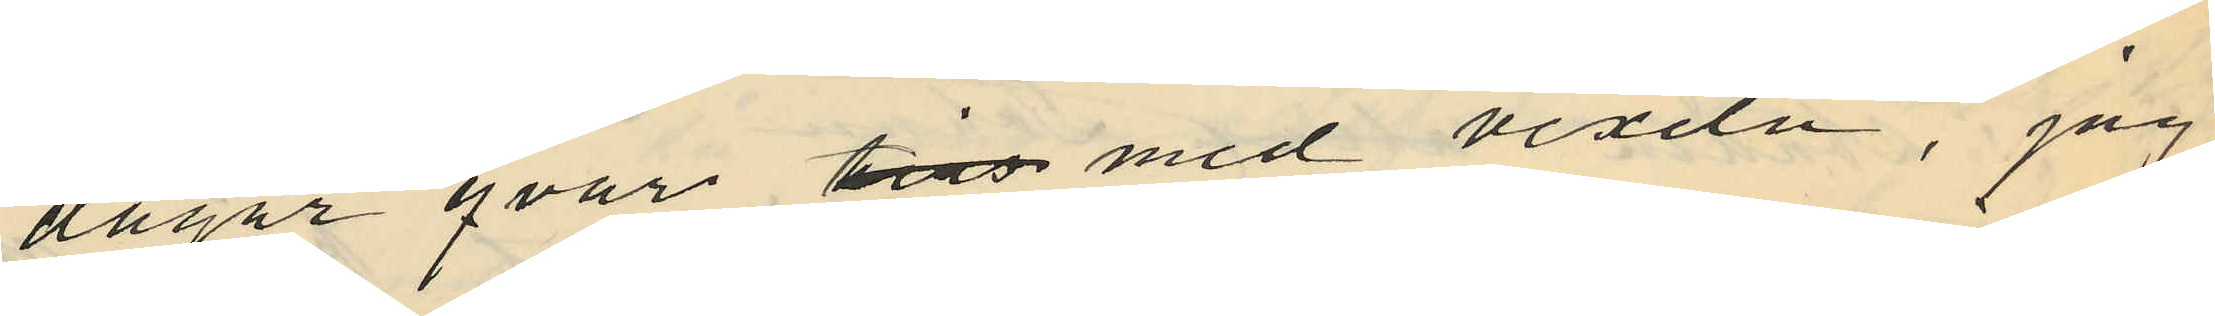dagar qvar tils med vexeln, jag
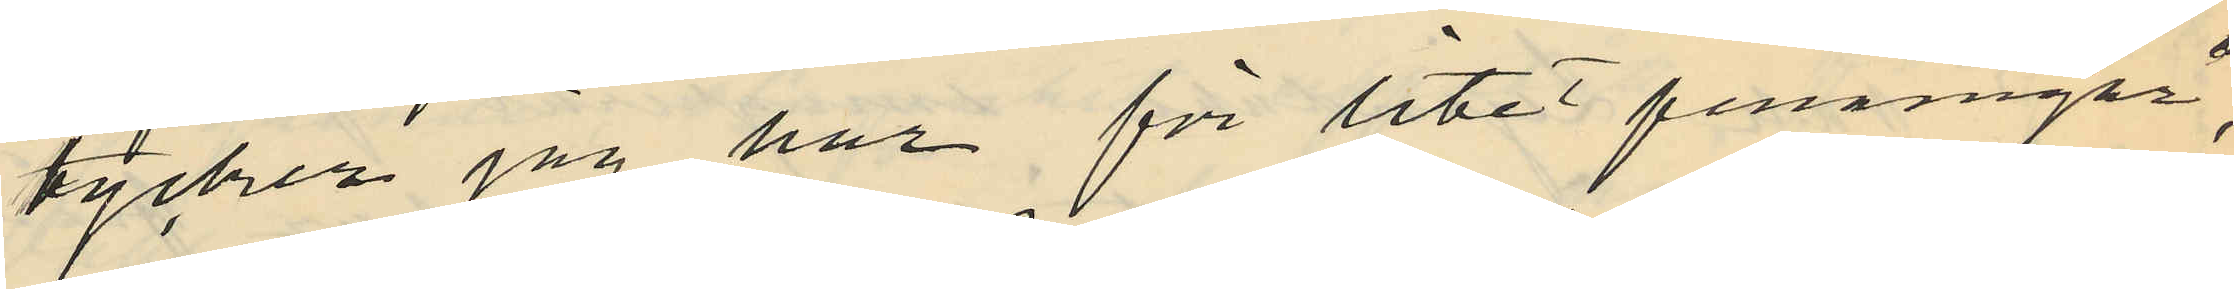tycker jag har för litet penningar",
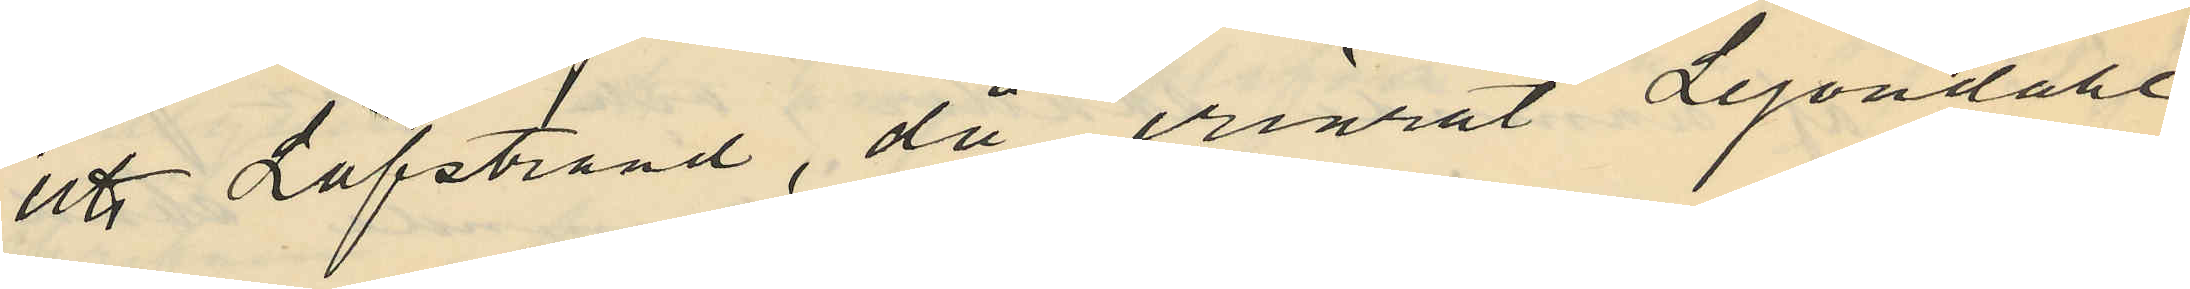att Löfstrand, då erinrat Lejondahl
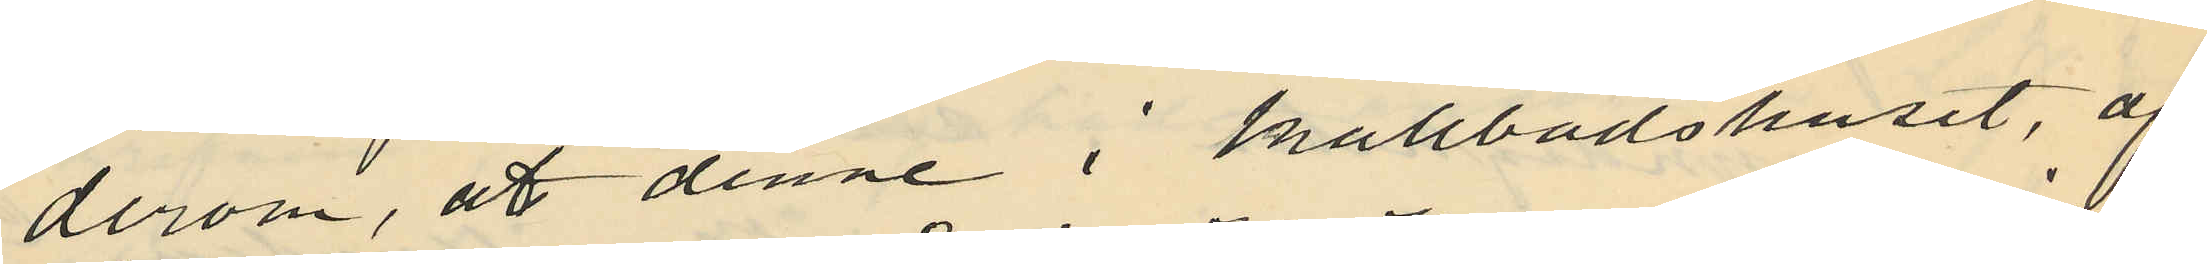derom, at denne i kallbadshuset, af
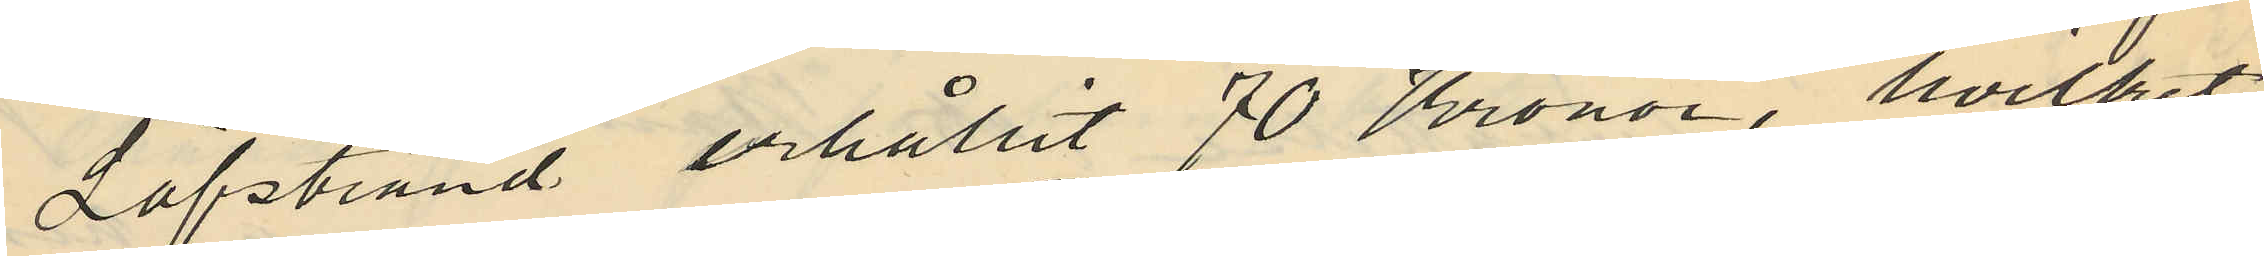Löfstrand erhållit 70 Kronor, hvilket
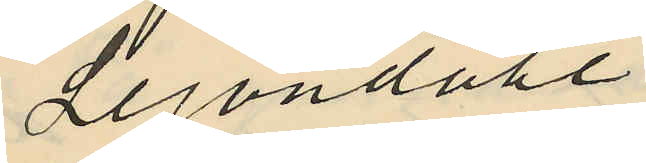Lejondahl
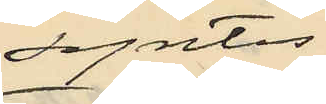syntes
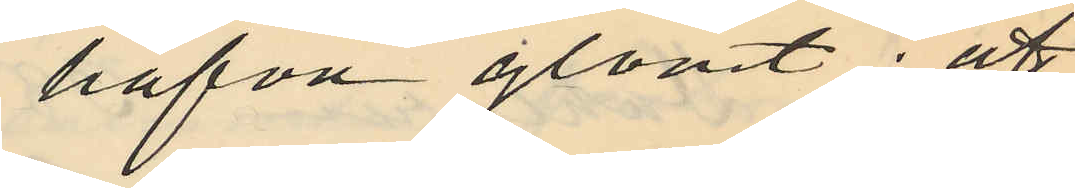hafva glömt: att
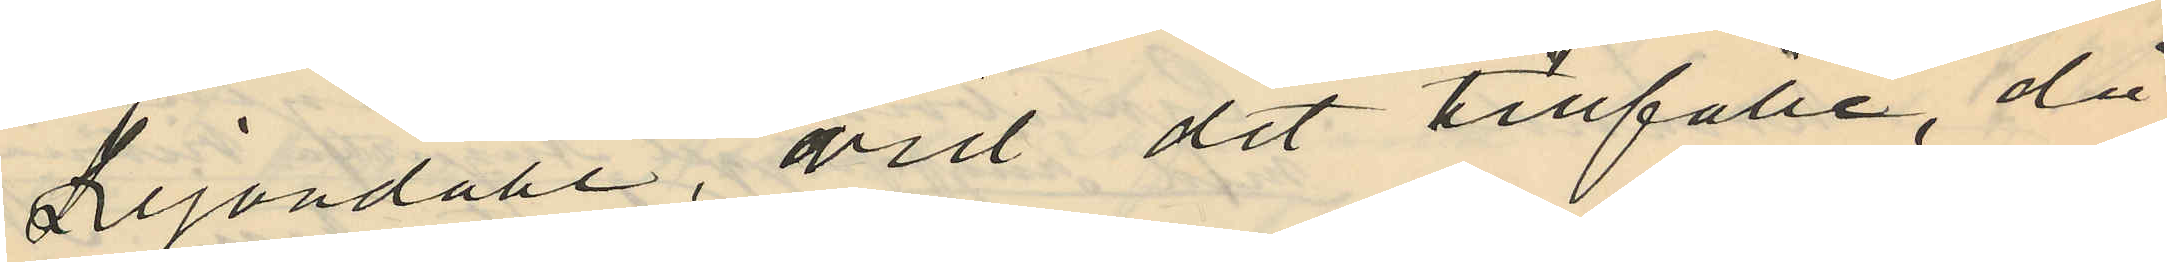Lejondahl, vid det tillfälle, då
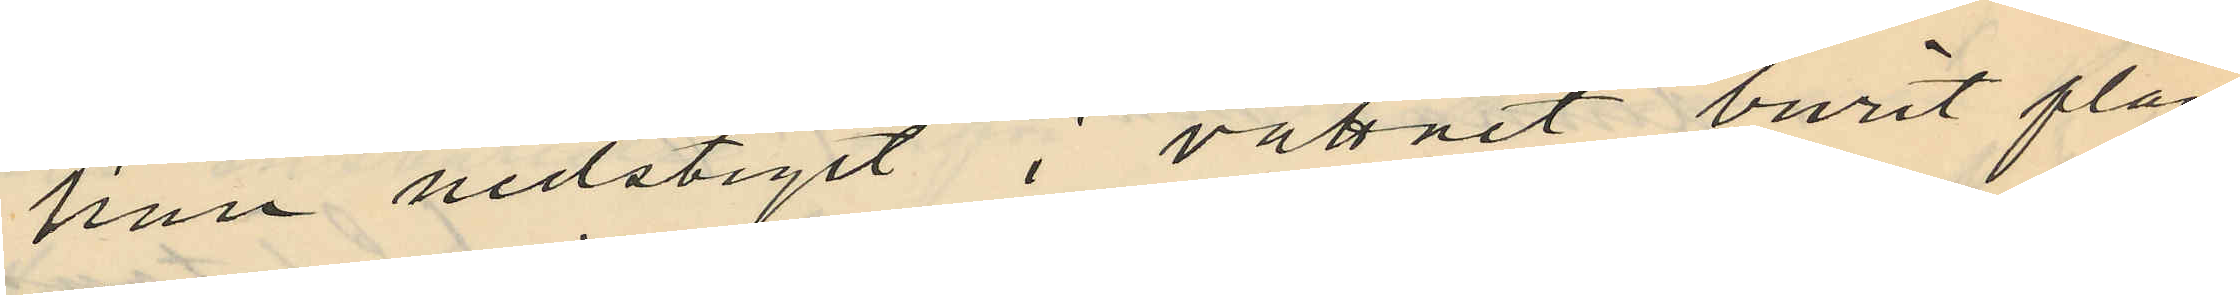han nedstigit i vattnet burit plån
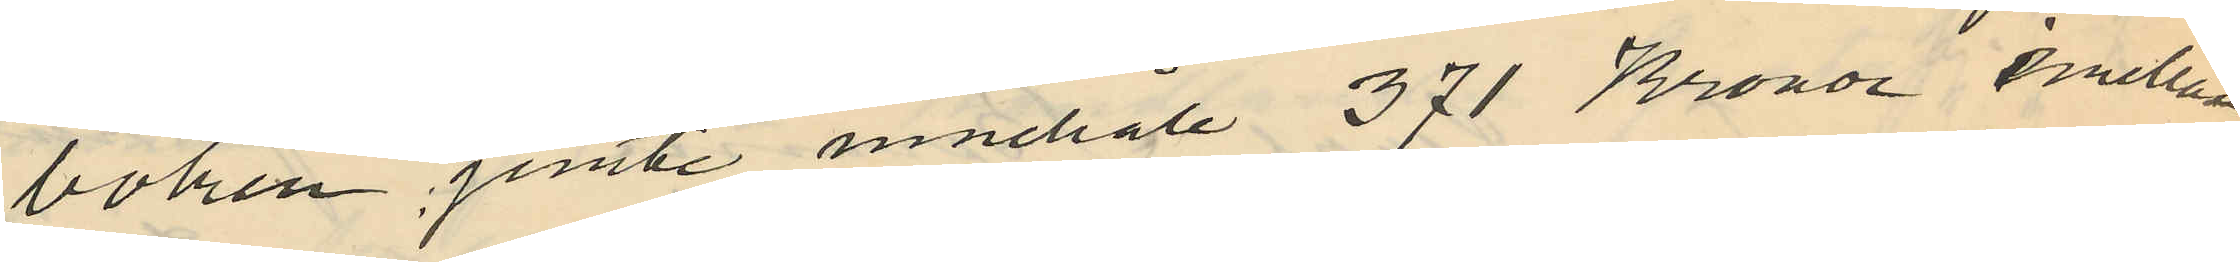boken jemte innehåll 371 Kronor emellan
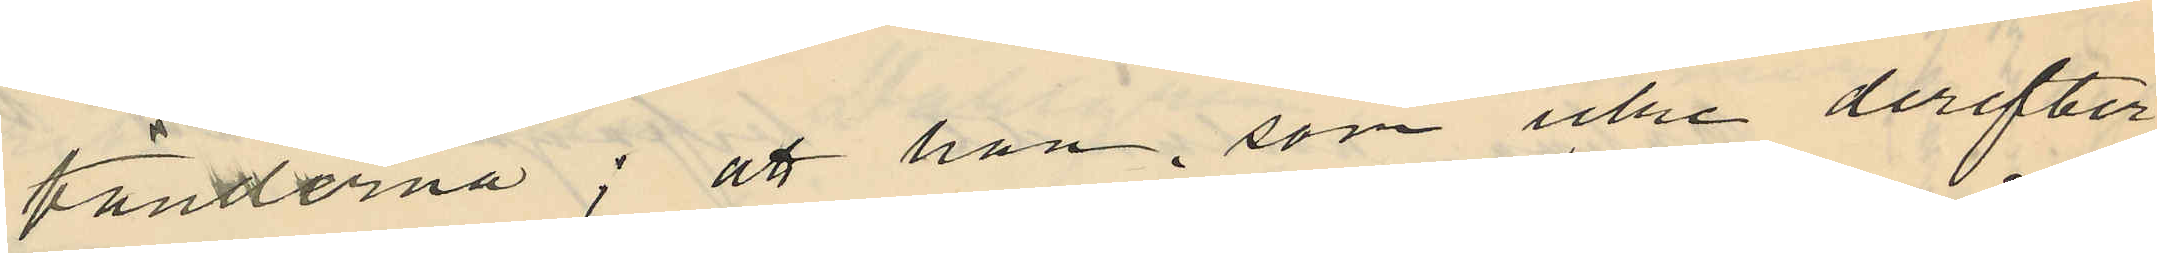tänderna; att han, som icke derefter
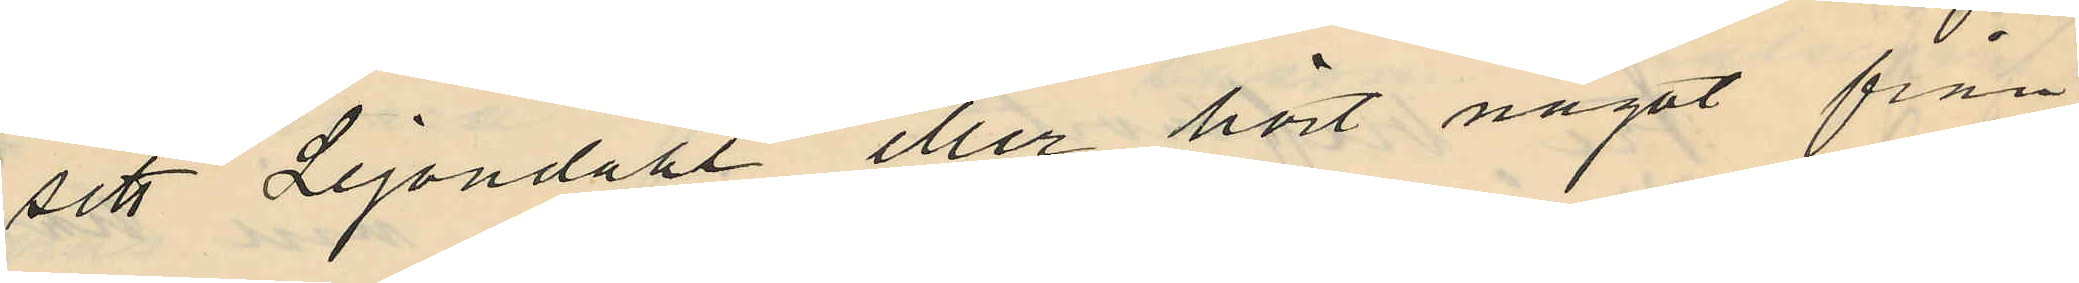sett Lejondahl eller hört något från
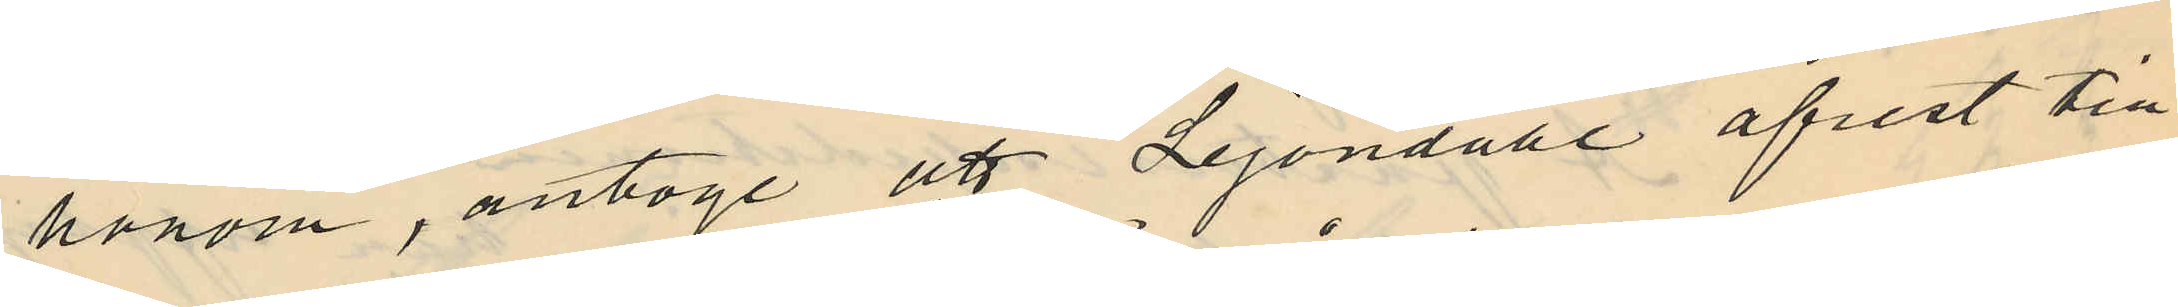honom, antoge att Lejondahl afrest till
